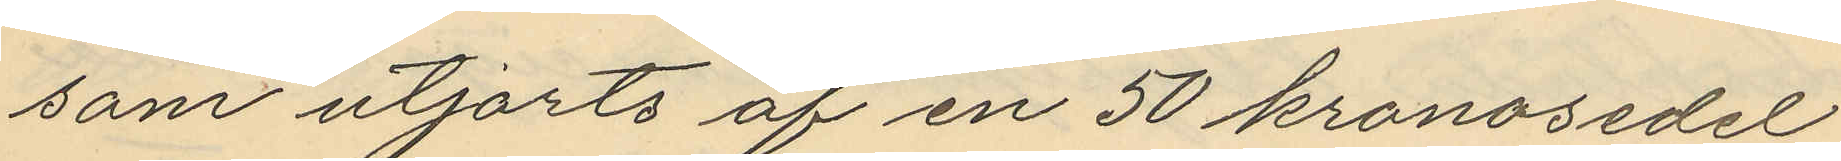som utjorts af en 50 kronosedel
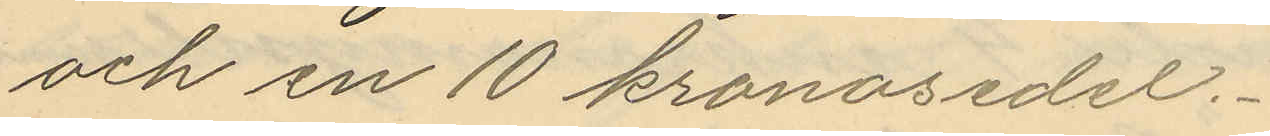och en 10 kronosedel.
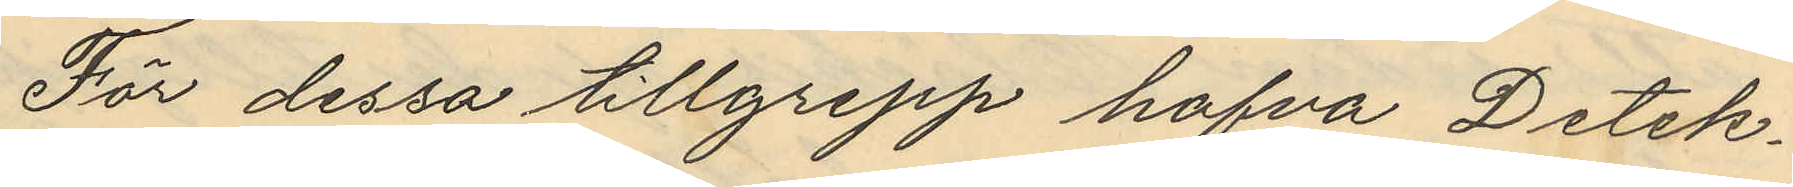För dessa tillgrepp hafva Detek¬
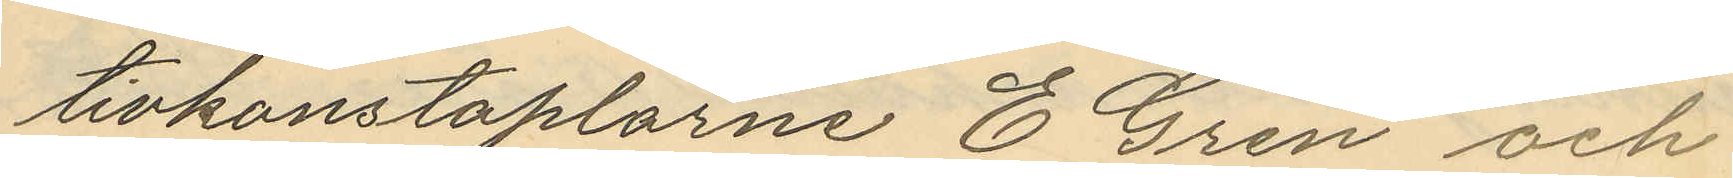tivkonstaplarne E. Gren och
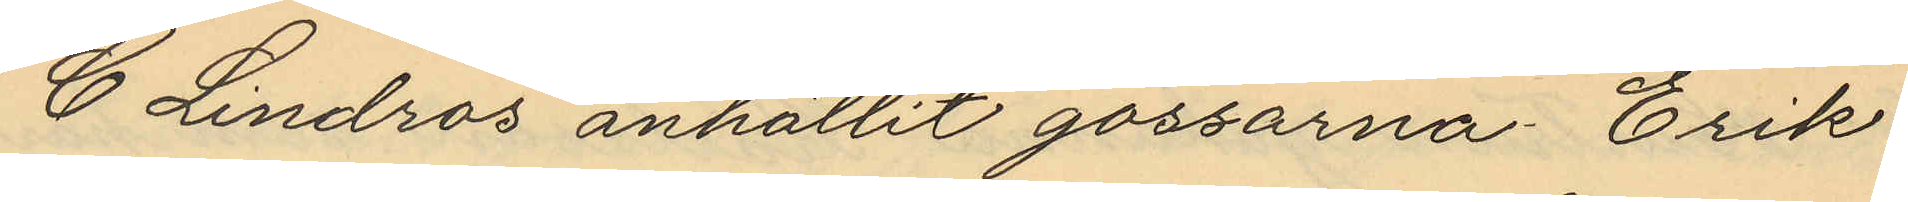C. Lindros anhållit gossarna Erik
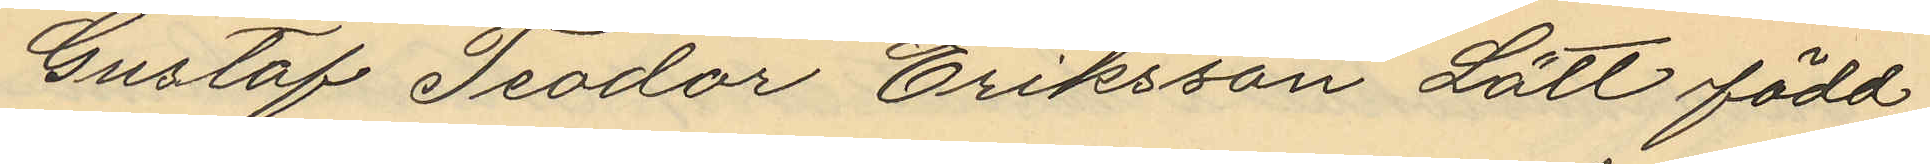Gustaf Teodor Eriksson Lätt född
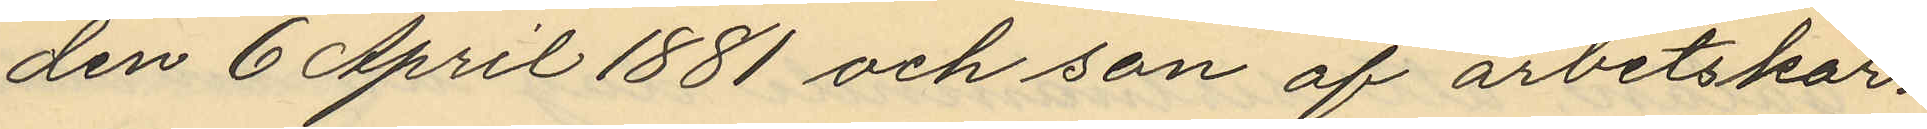den 6 April 1881 och son af arbetskar¬
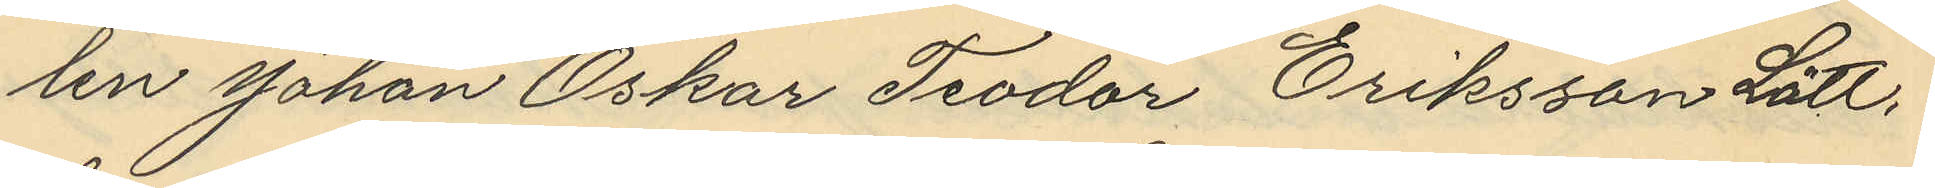len Johan Oskar Teodor Eriksson Lätt,
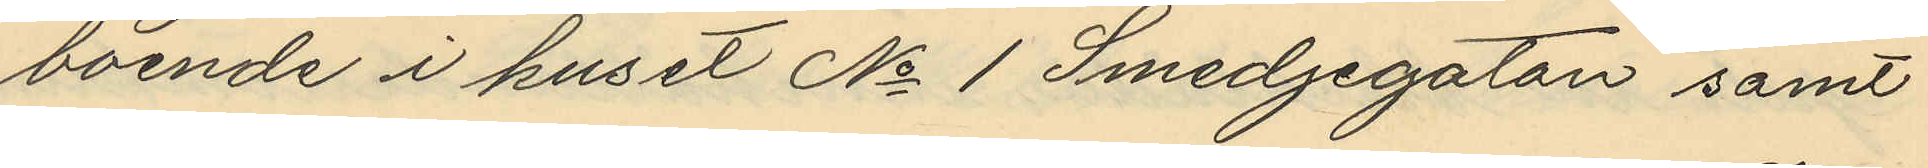boende i huset No 1 Smedjegatan samt
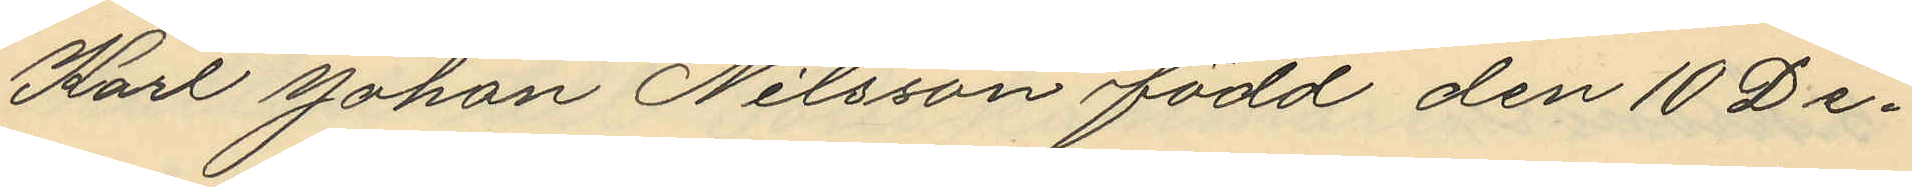Karl Johan Nilsson född den 10 De¬
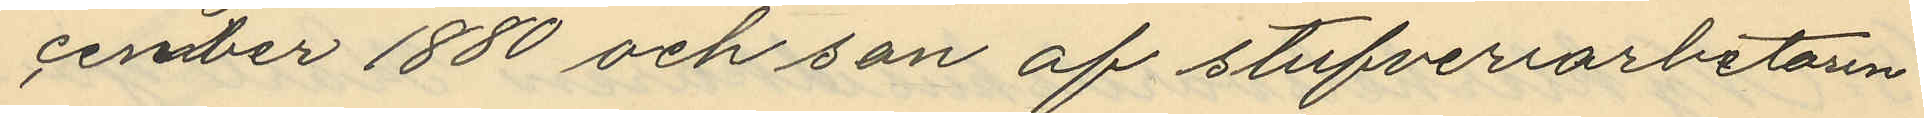cember 1880 och son af stufveriarbetarn
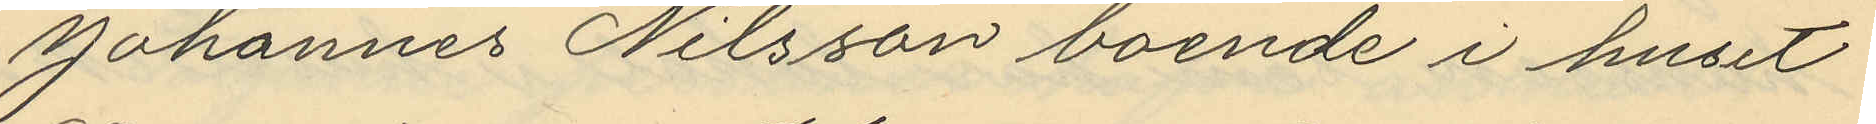Johannes Nilsson boende i huset
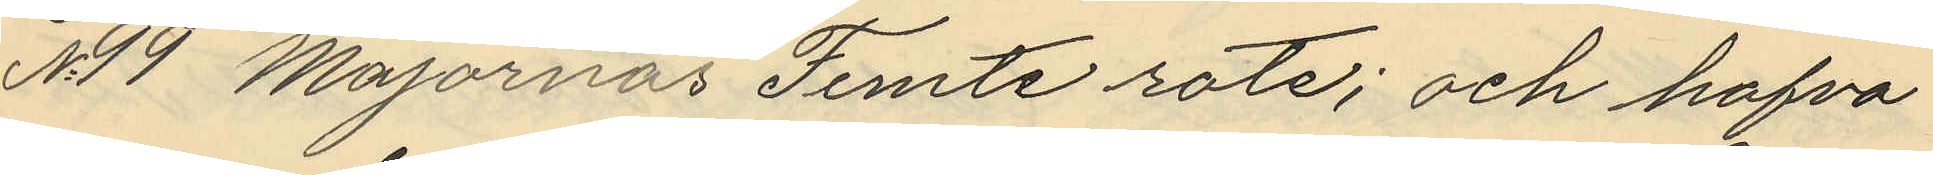No 19 Majornas Femte rote; och hafva
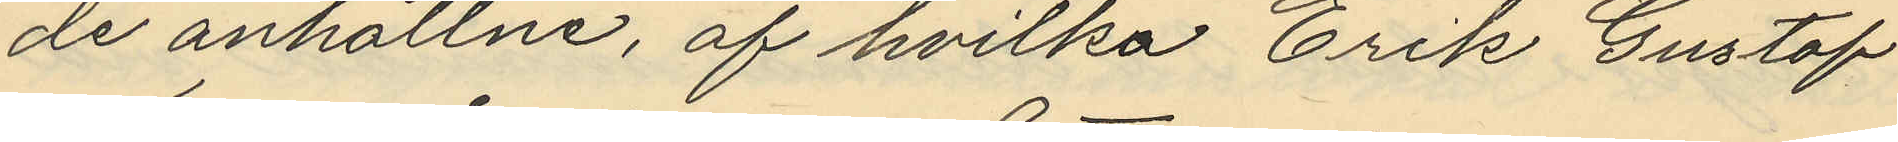de anhållne, af hvilka Erik Gustaf
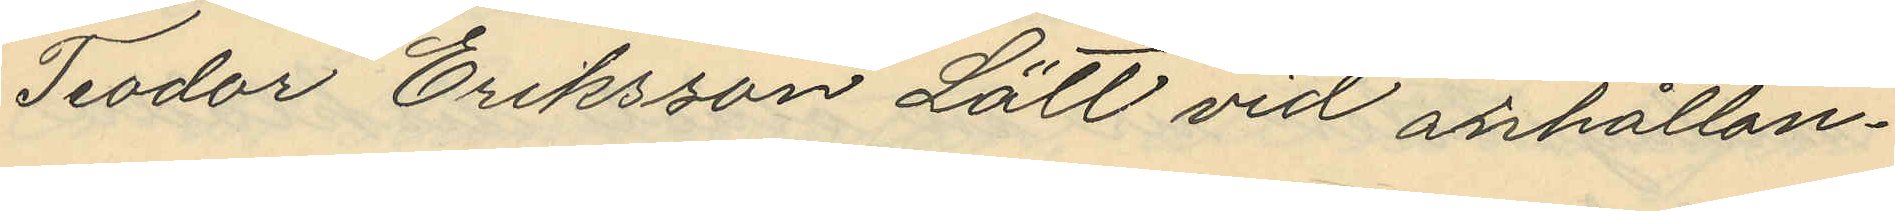Teodor Eriksson Lätt vid anhållan¬
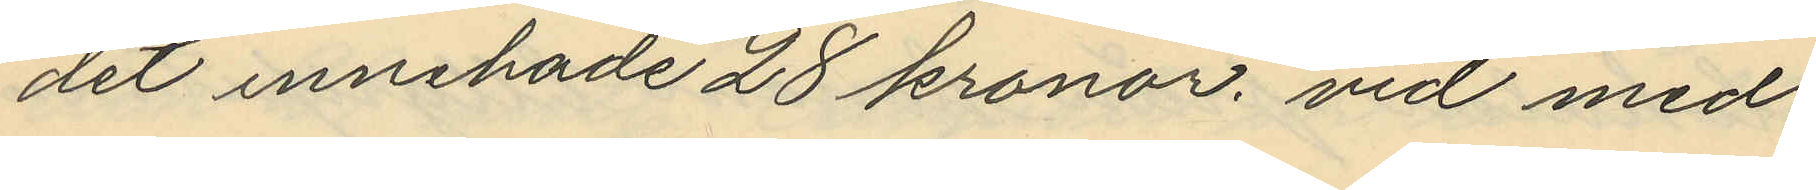det innehade 28 kronor, vid med
